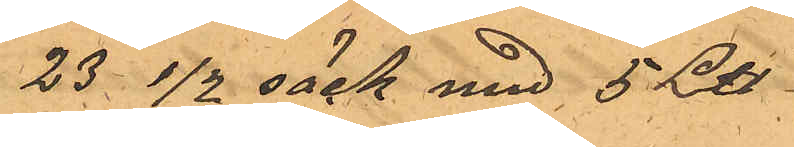23 1/2 säck med 5 L℔
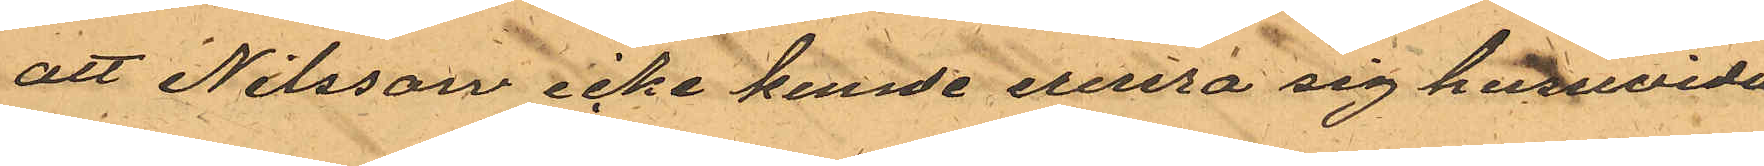att Nilsson icke kunde erinra sig huruvida
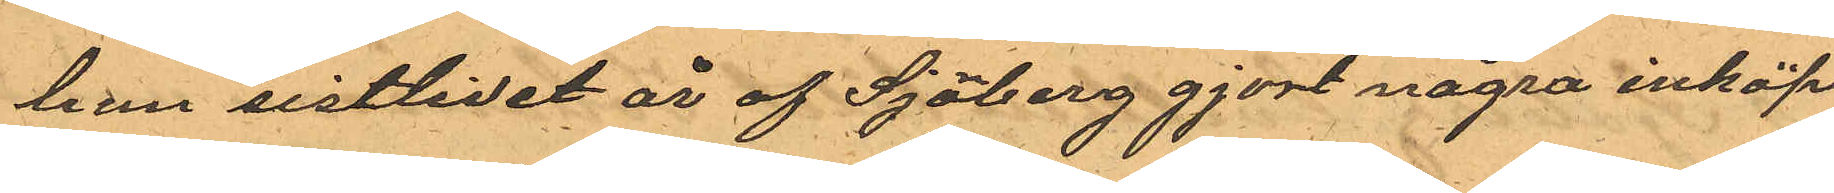han sistlidet år af Sjöberg gjort några inköp
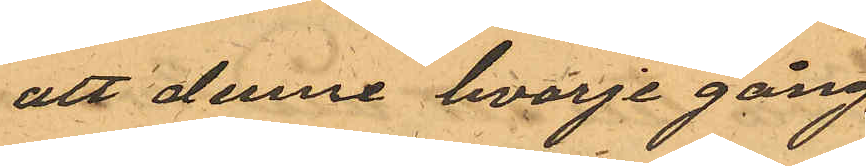att denne hvarje gång
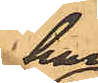han
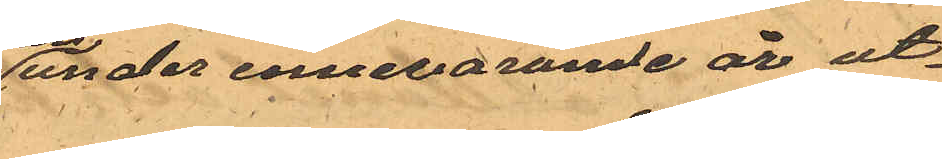under innevarande år ut¬
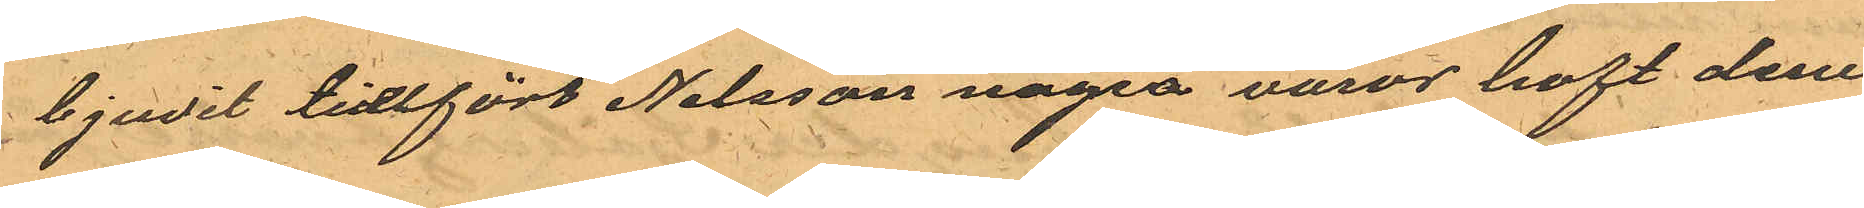bjudit tillfört Nilsson några varor haft dem
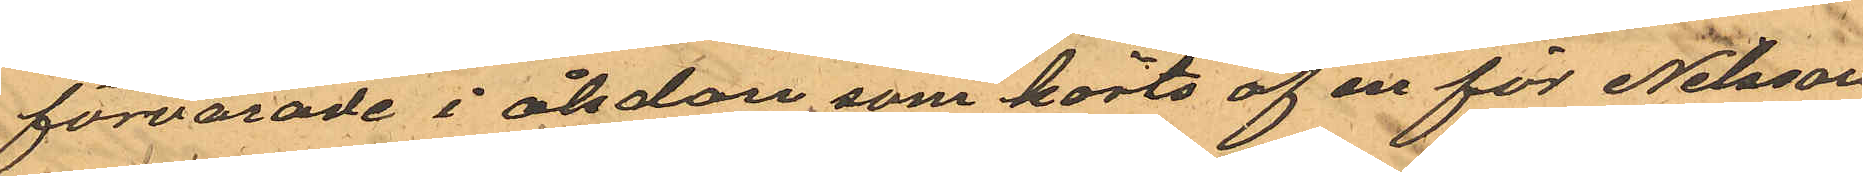förvarade i åkdon som körts af en för Nilsson
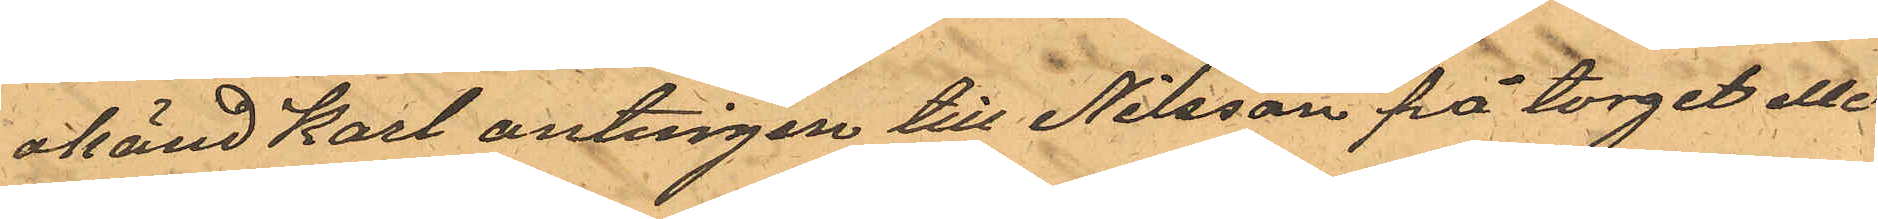okänd karl antingen till Nilsson på torget eller
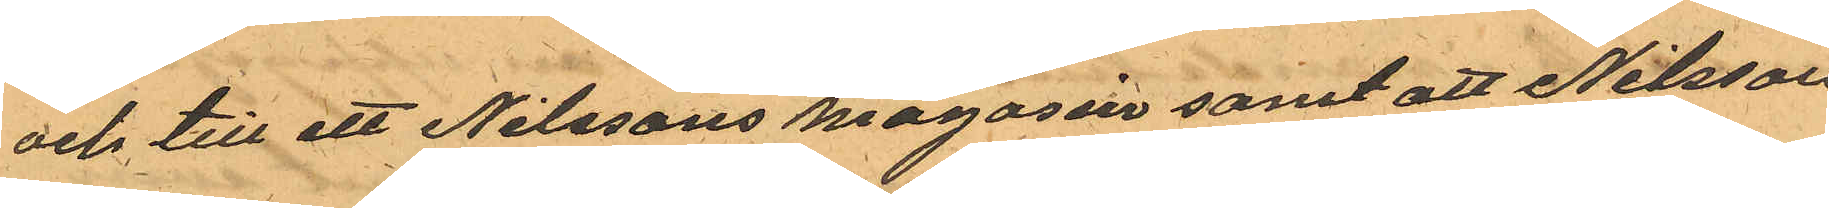och till ett Nilssons magasin samt att Nilsson
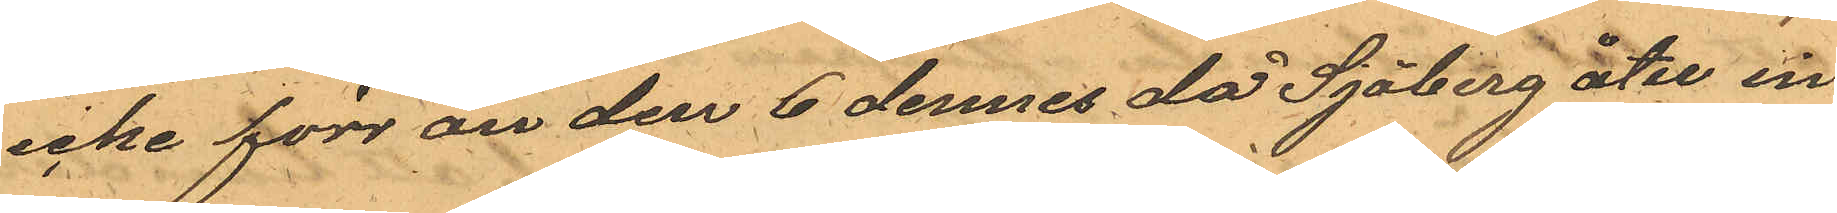icke förr än den 6 dennes då Sjöberg åter in¬
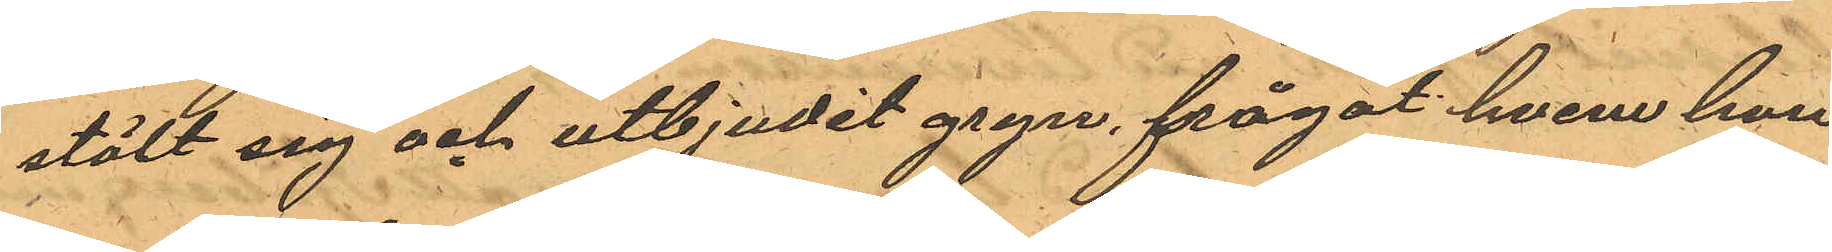stält sig och utbjudit gryn, frågat hvem han
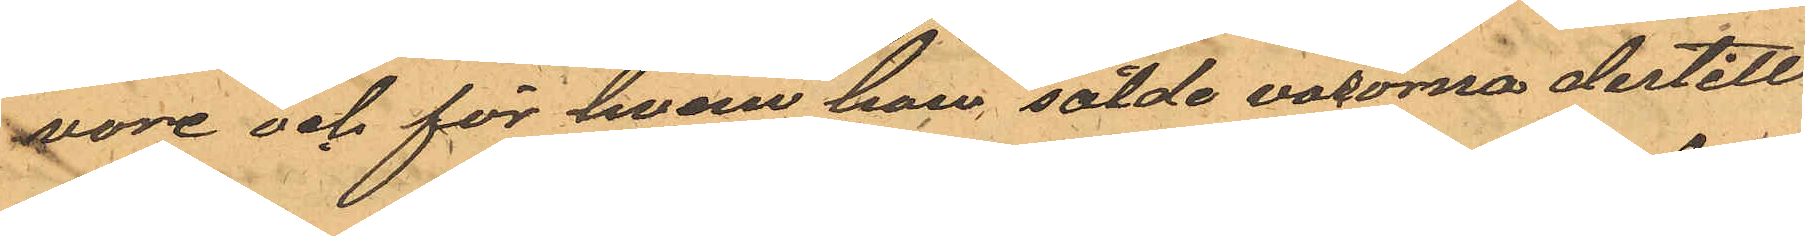vore och för hvem han sålde varorna dertill
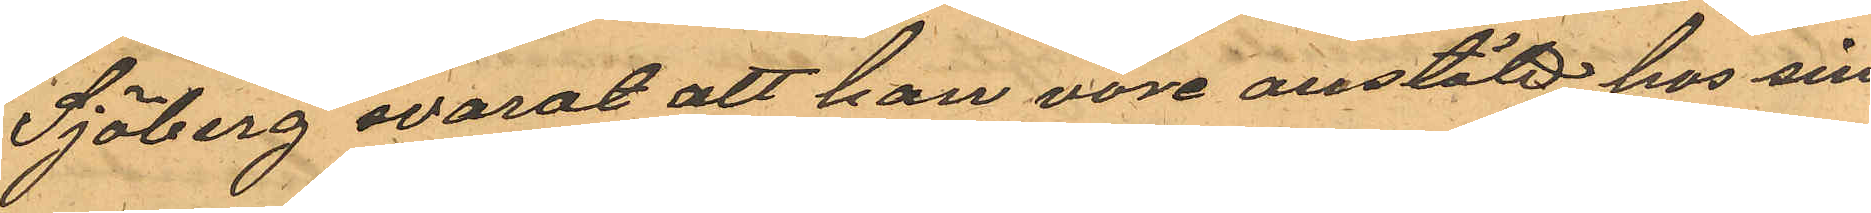Sjöberg svarat att han vore anstäld hos sin
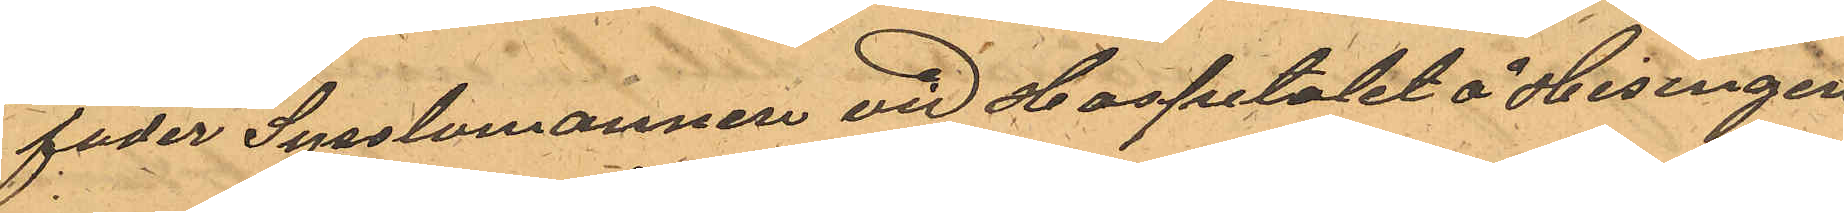fader Sysslomannen vid Hospitalet å Hisingen
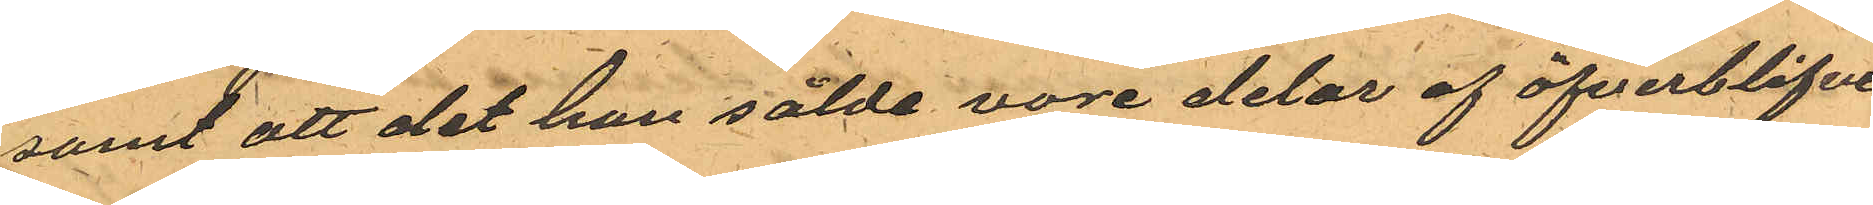samt att det han sålde vore delar af öfverblifven
